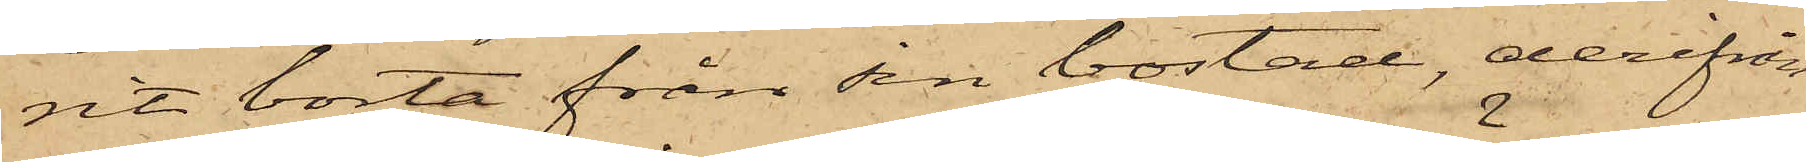rit borta från sin bostad, derifrån
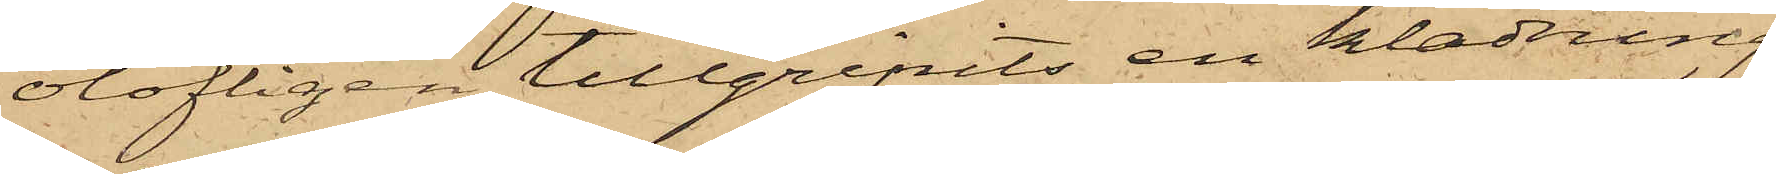olofligen tillgripits en klädning
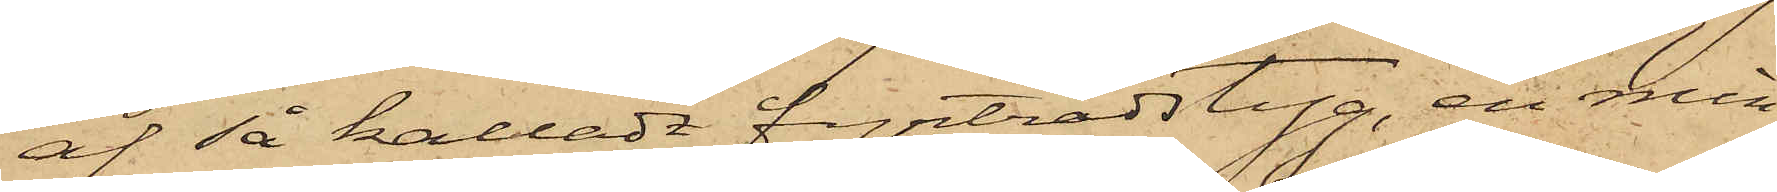af så kalladt fyrtrådstyg, en min¬
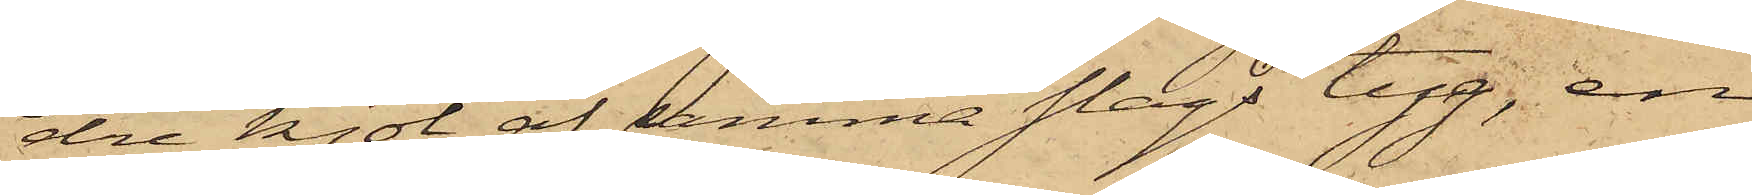dre kjol af samma slags tyg, en
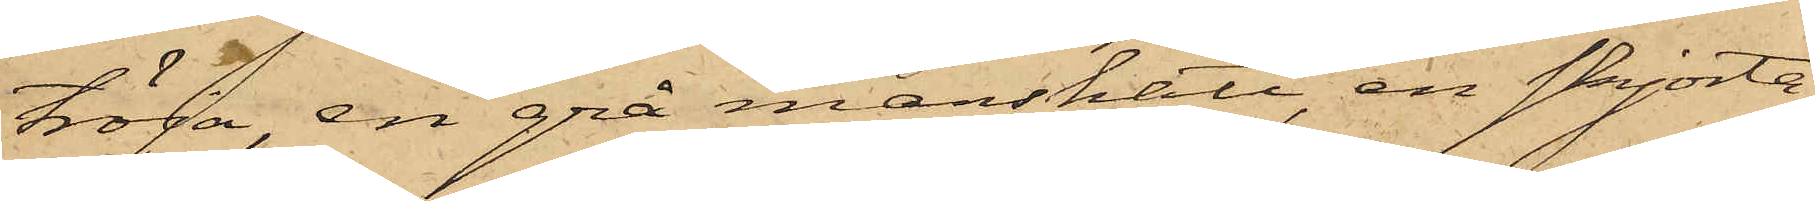tröja, en grå manshatt, en skjorta
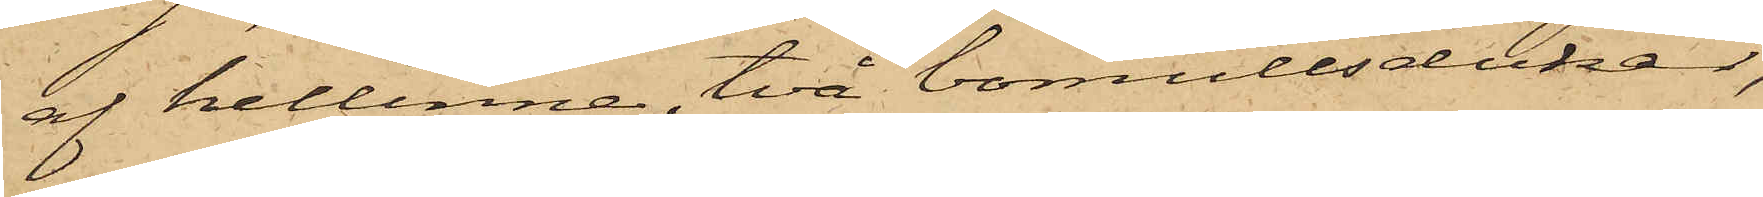af hellinne, två bomullsdukar,
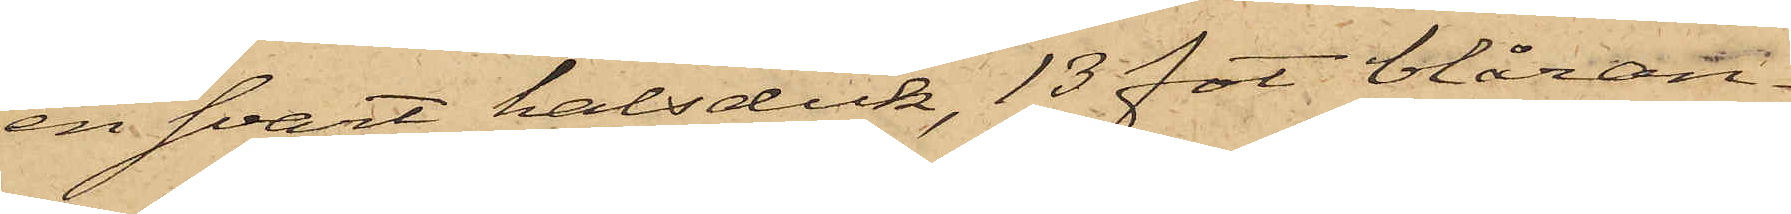en svart halsduk, 13 fot blåran¬
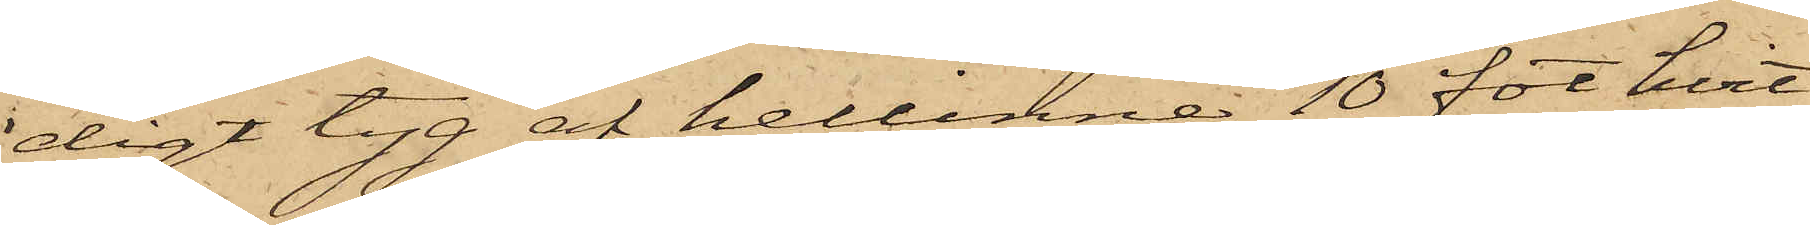digt tyg af hellinne, 10 fot hvit
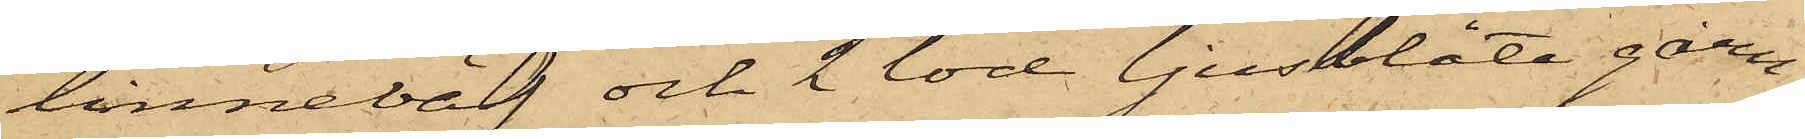linneväf och 2 lod ljusblått garn,
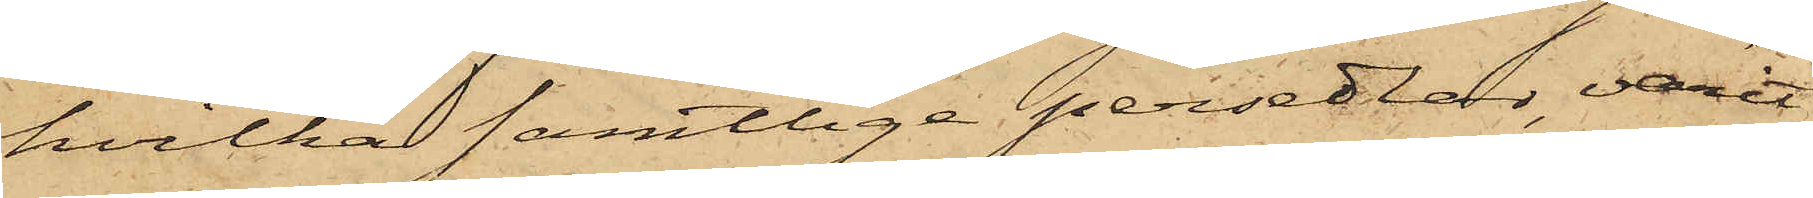hvilka samtlige persedlar, varit
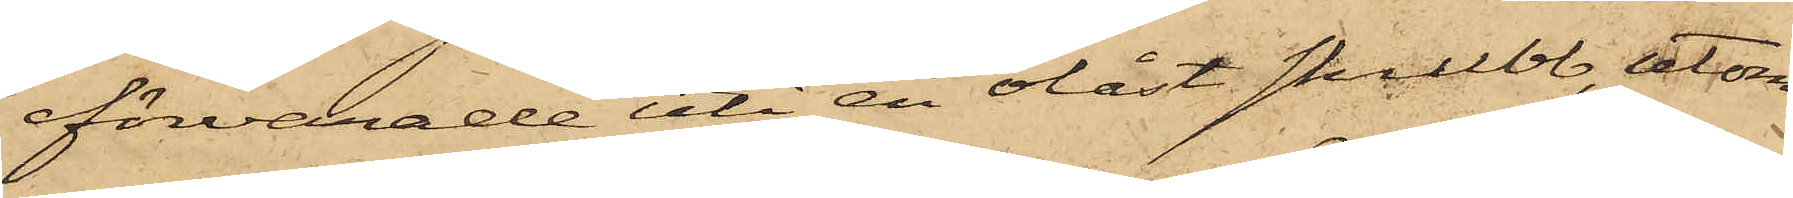förvarade uti en olåst skrubb, utom
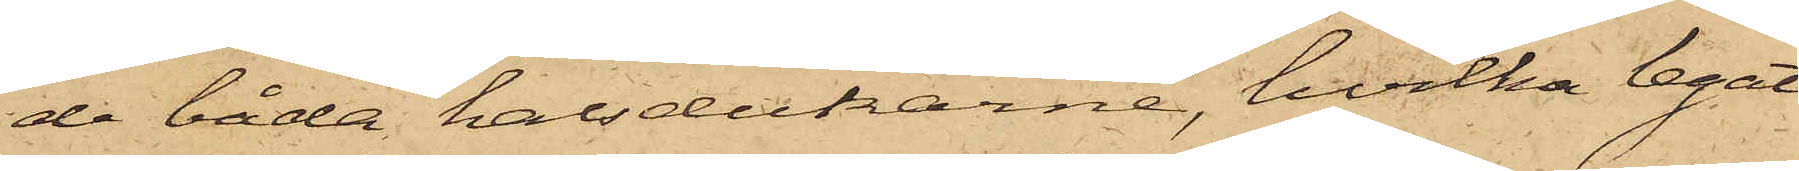de båda halsdukarne, hvilka legat
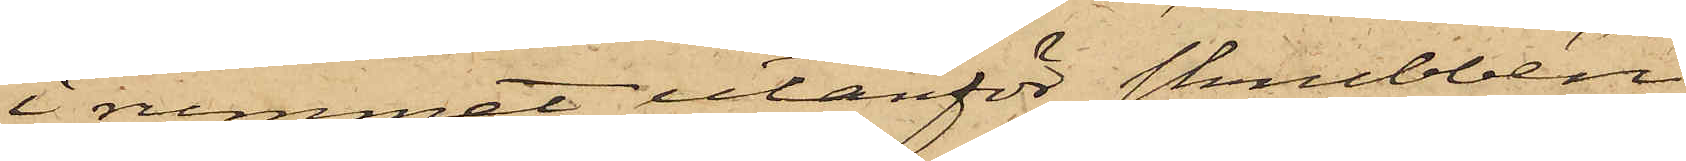i rummet utanför skrubben;
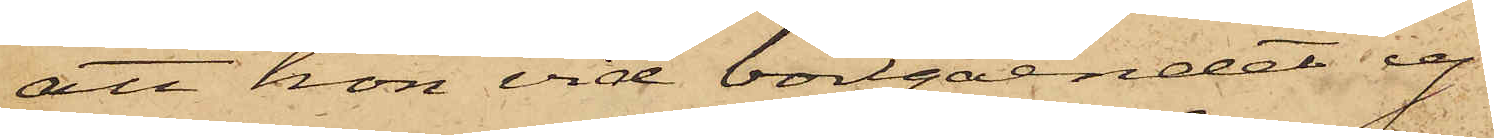att hon vid bortgåendet ej
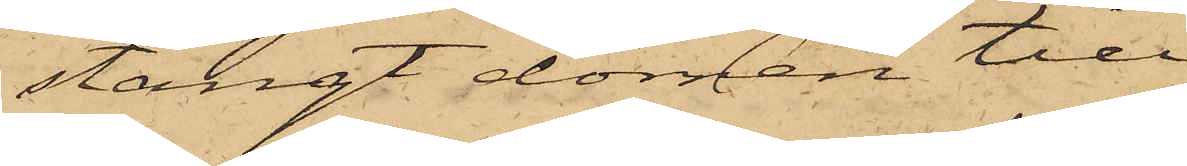stängt dörren till
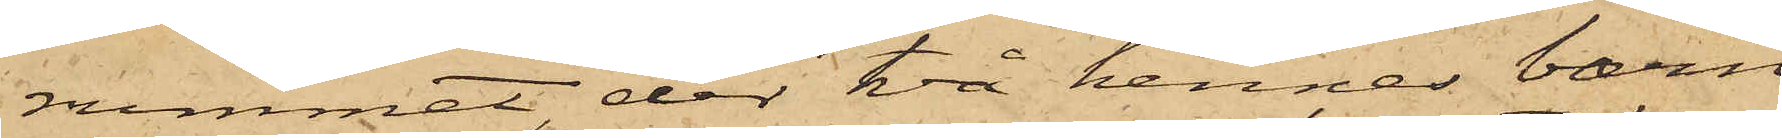rummet,der två hennes barn
